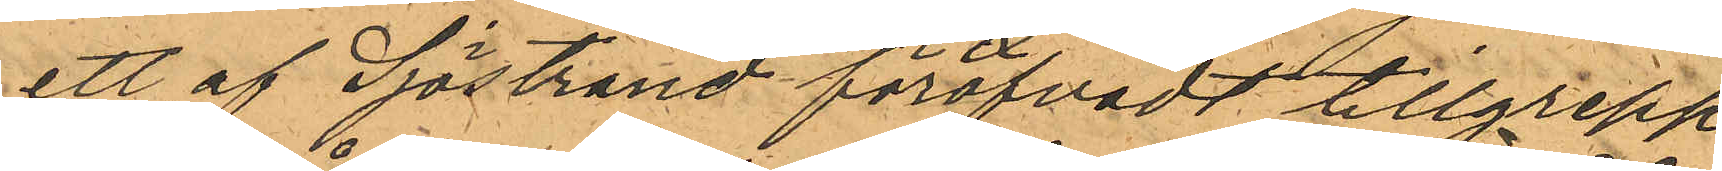ett af Sjöstrand föröfvadt tillgrepp
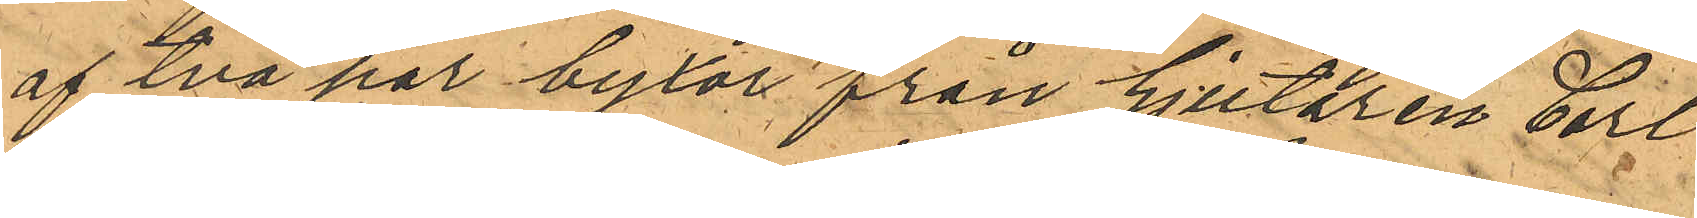af två par byxor från Gjutaren Carl
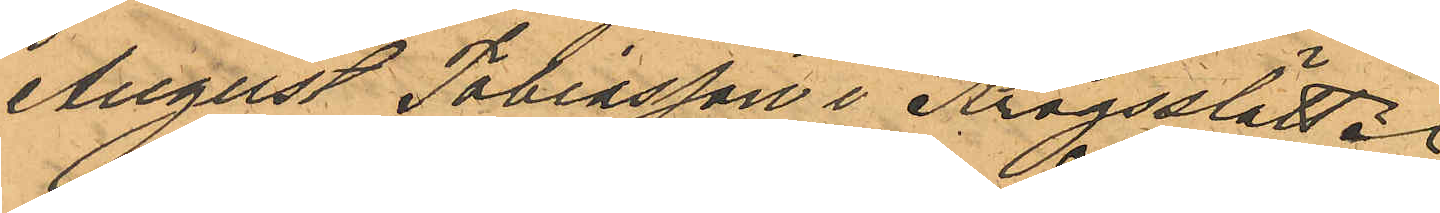August Tobiasson i Krogsslätt.
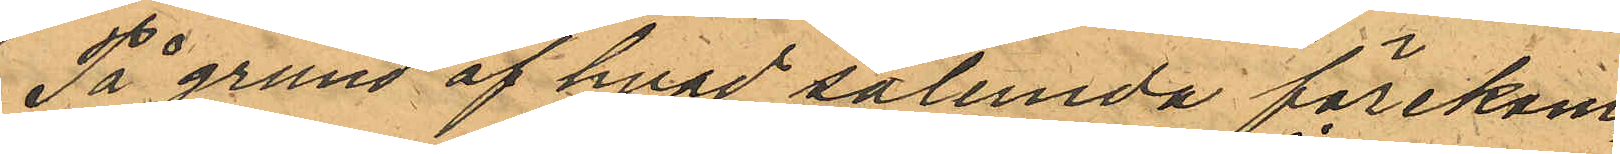På grund af hvad sålunda förekom¬
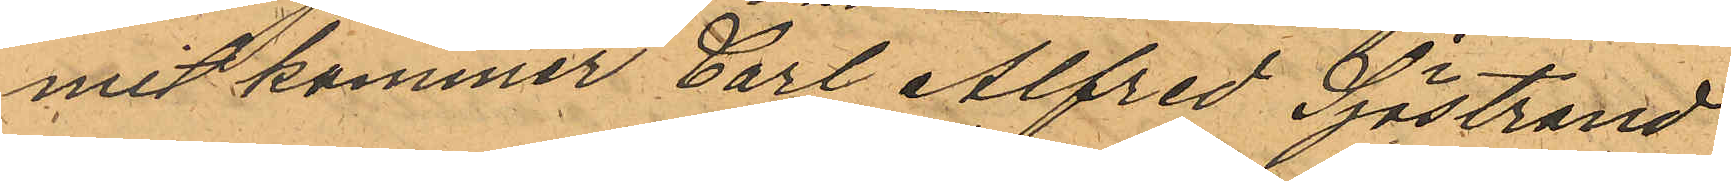mit kommer Carl Alfred Sjöstrand
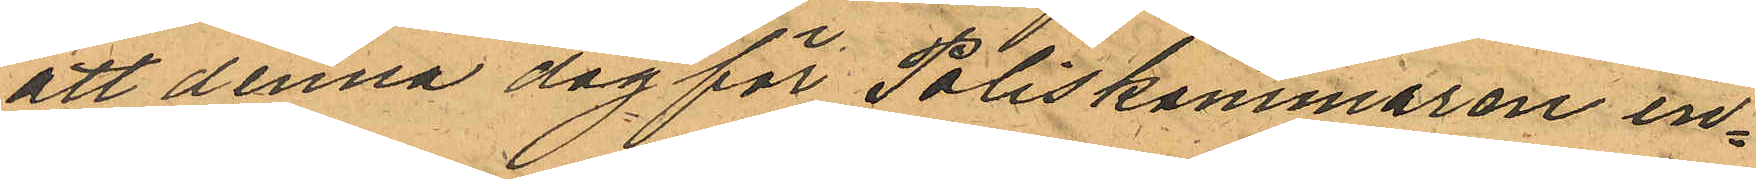att denna dag för Poliskammaren in¬
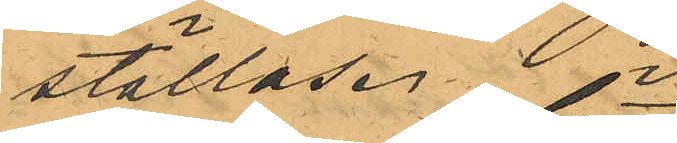ställas.
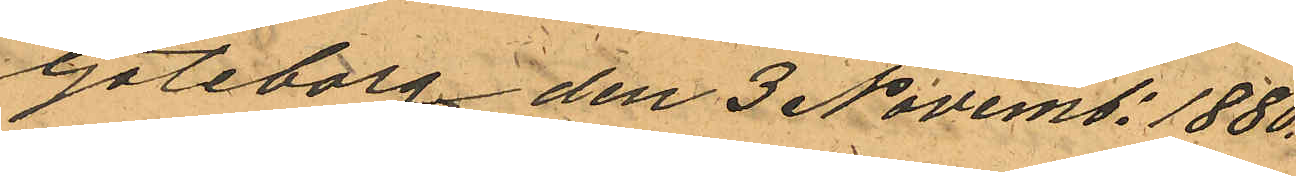Göteborg den 3 Novemb. 1880.
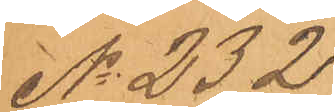No 232
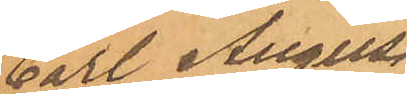Carl August
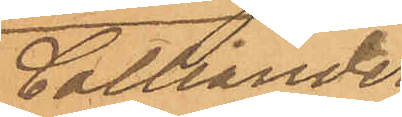Colliander
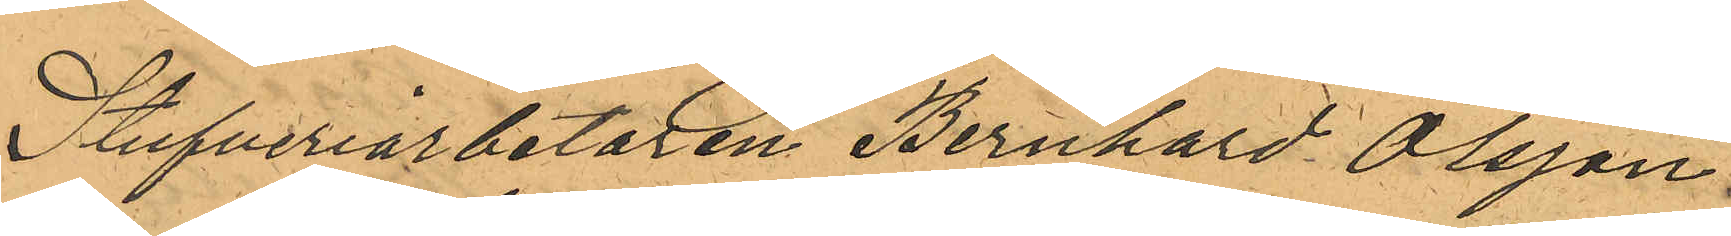Stufveriarbetaren Bernhard Olsson
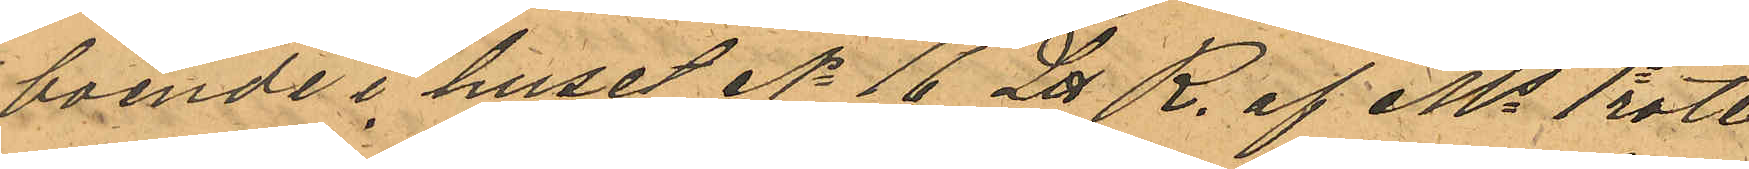boende i huset No 16 Litt R. af Ms 1a rote
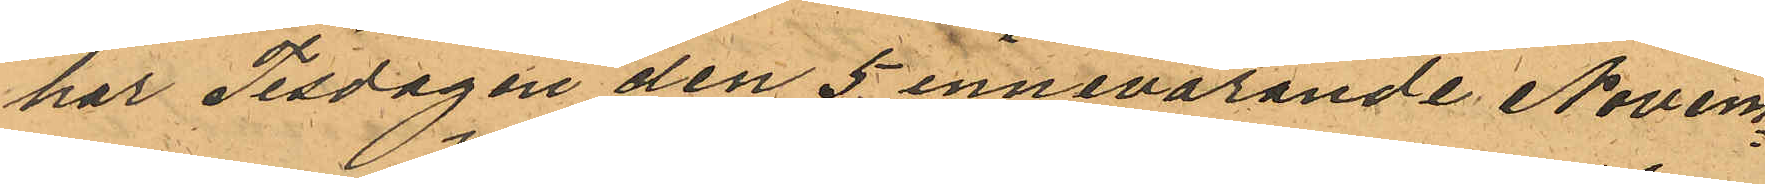har Tisdagen den 5 innevarande Novem¬
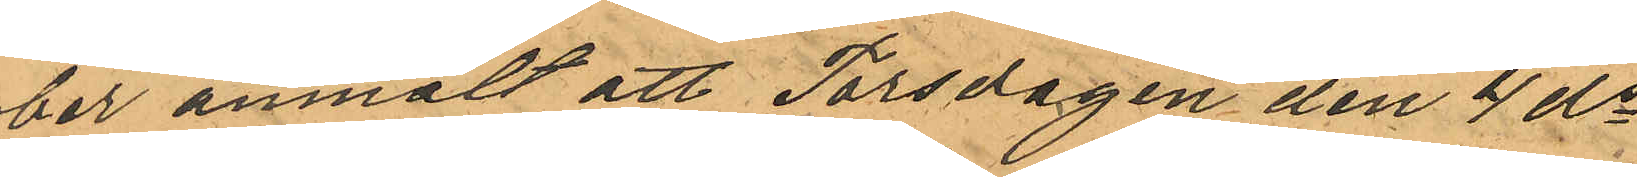ber anmält att Torsdagen den 4 ds
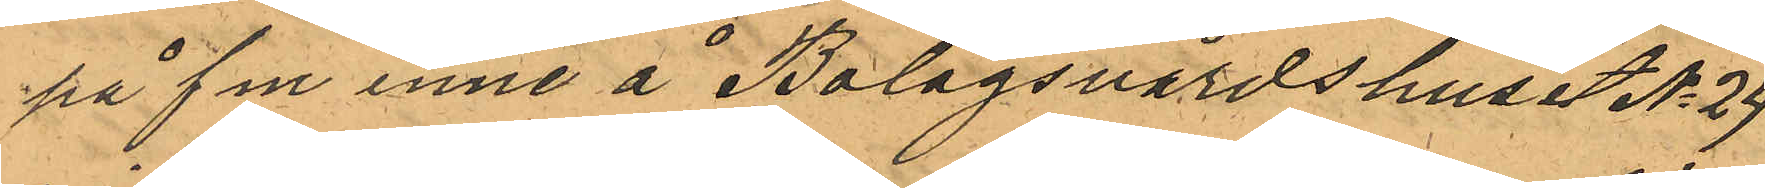på f m inne å Bolagsvärdshuset No 24
